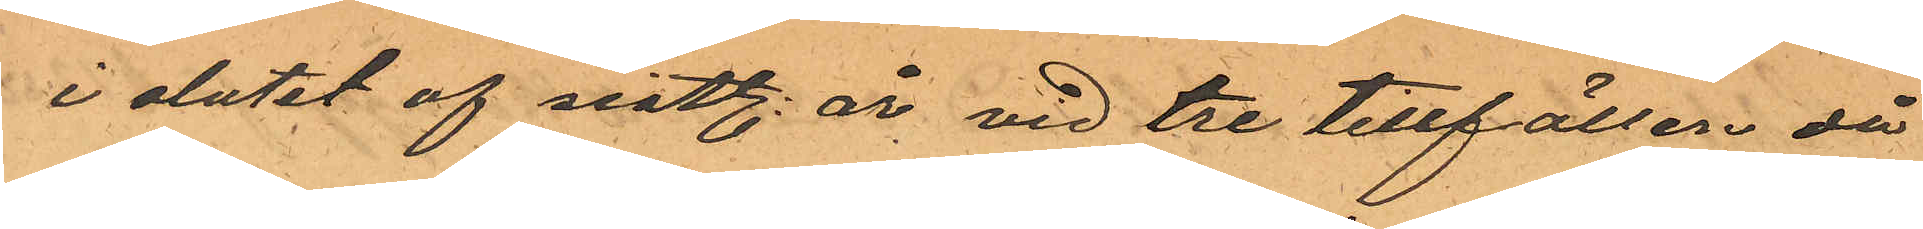i slutet af sistl. år vid tre tillfällen då
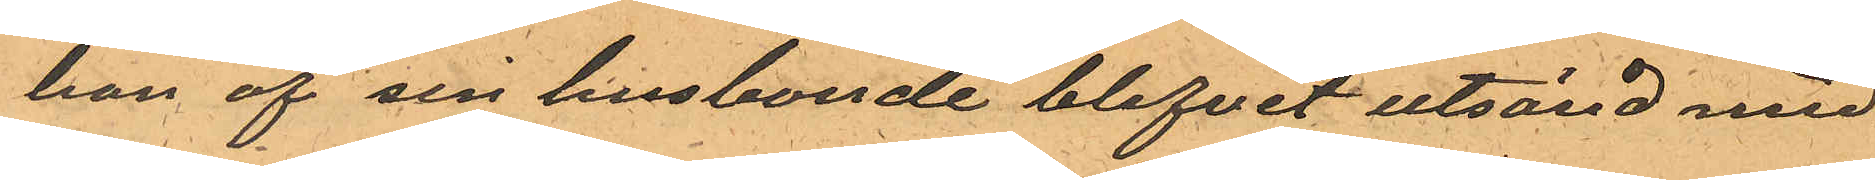han af sin husbonde blifvit utsänd med
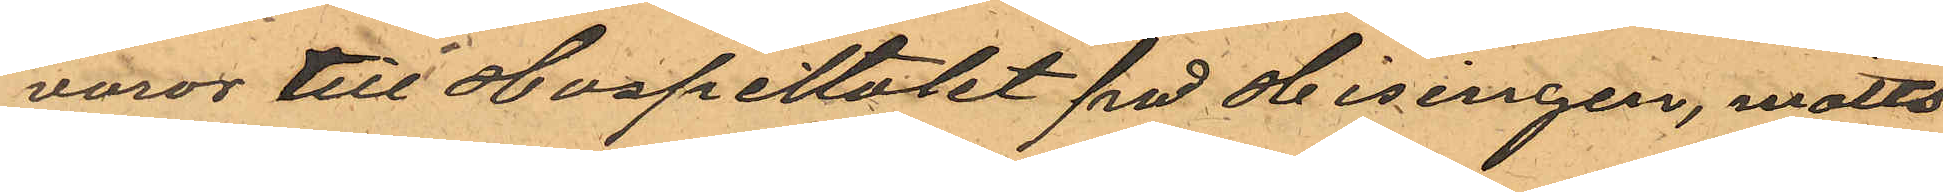varor till Hospiltalet på Hisingen, mötts
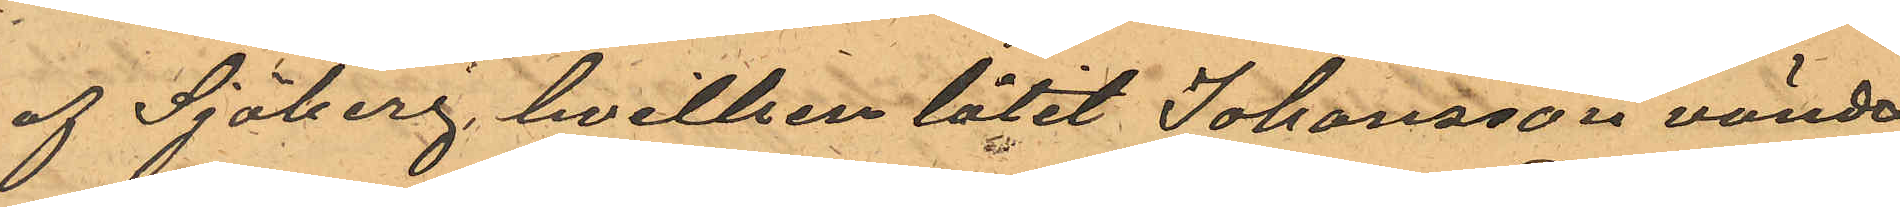af Sjöberg, hvilken låtit Johansson vända
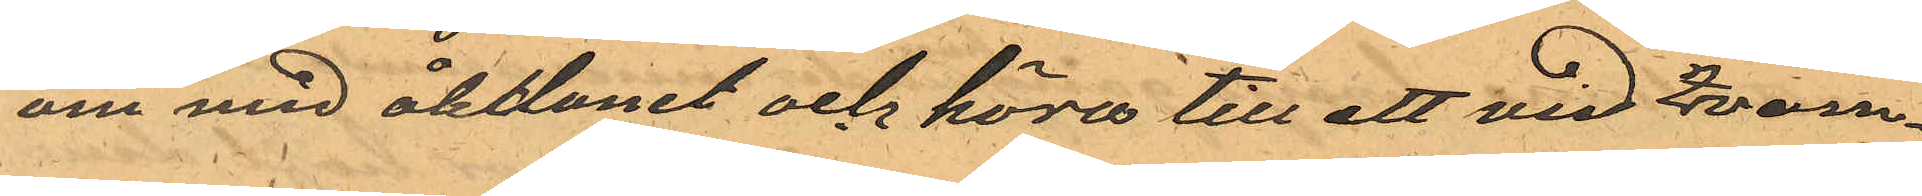om med åktdonet och köra till ett vid Qvarn¬
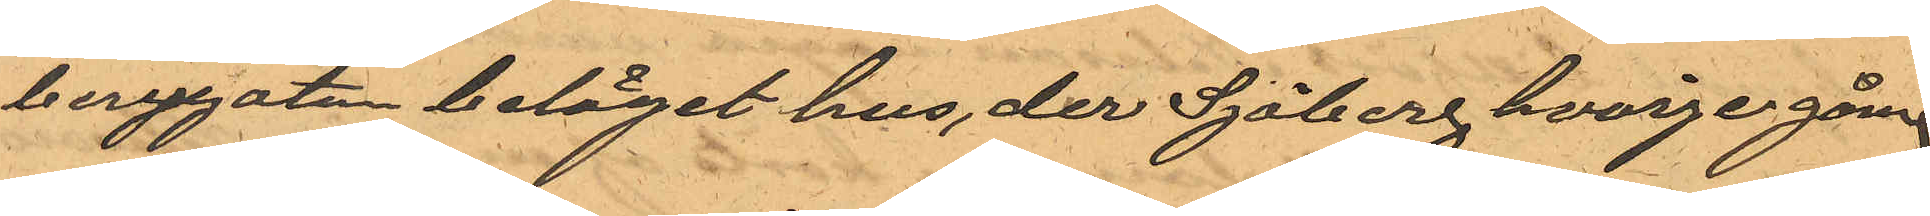bergsgatan beläget hus, der Sjöberg hvarje gång
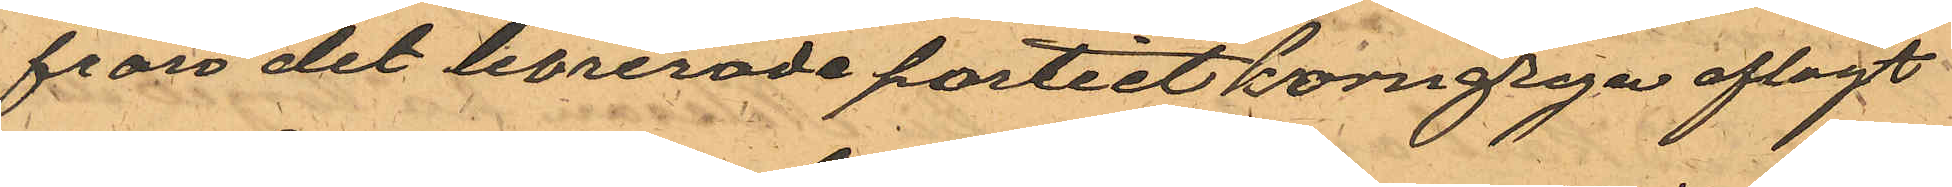från det levrerade partiet korngryn aflagt
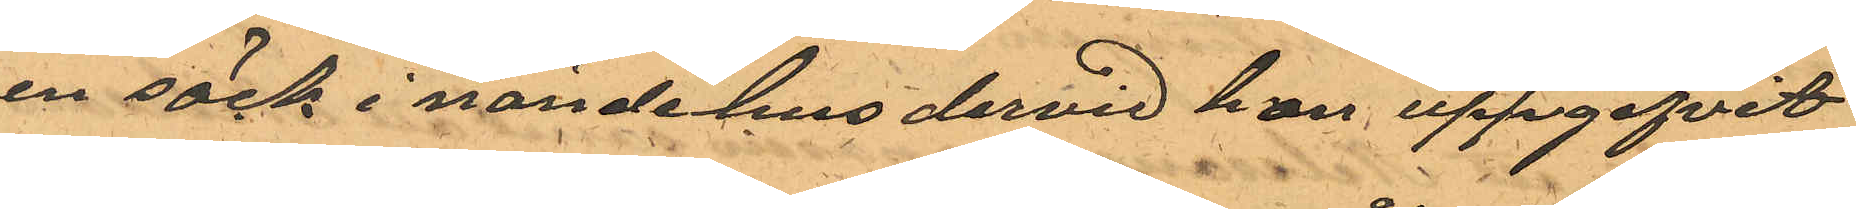en säck i nände hus dervid han uppgifvit
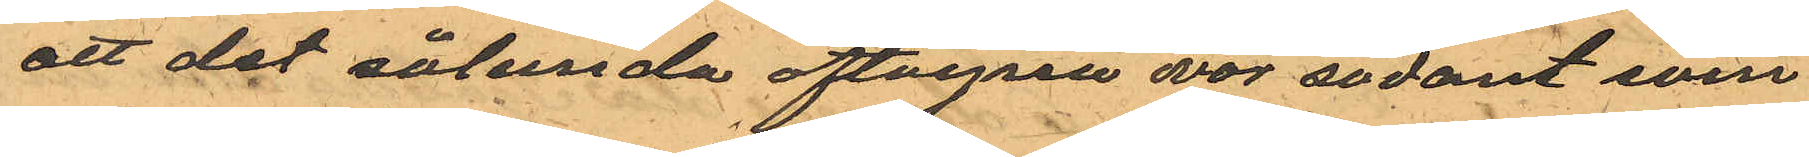att det sålunda aftagna var sådant som
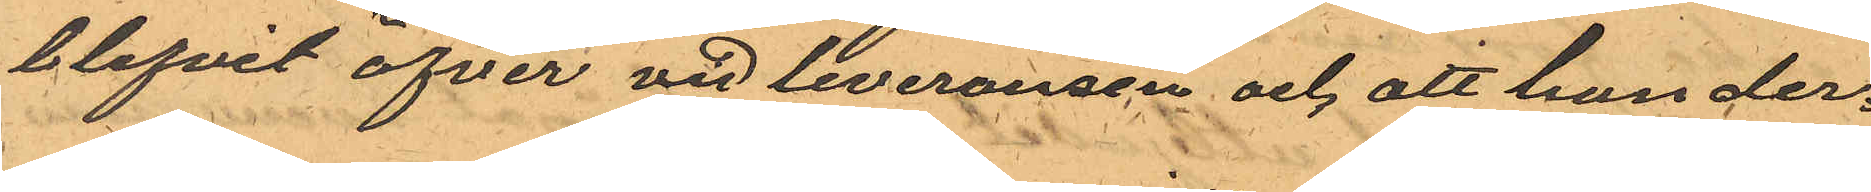blifvit öfver vid leveransen och att han der¬
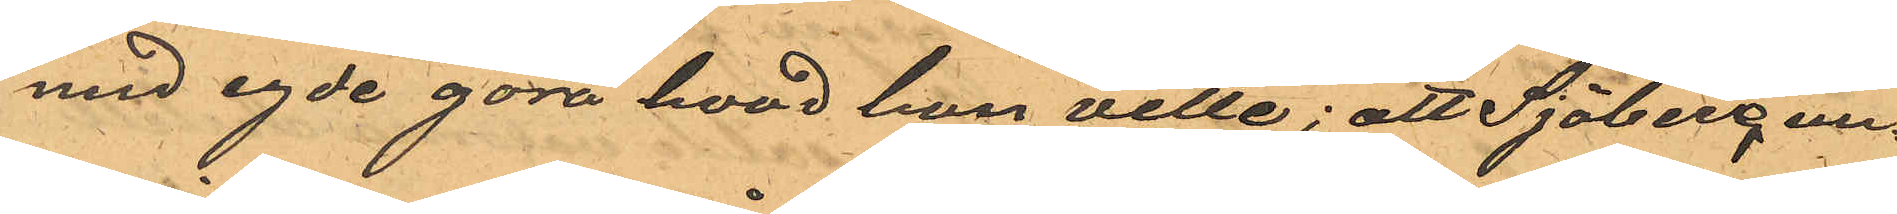med egde göra hvad han ville; att Sjöberg un¬
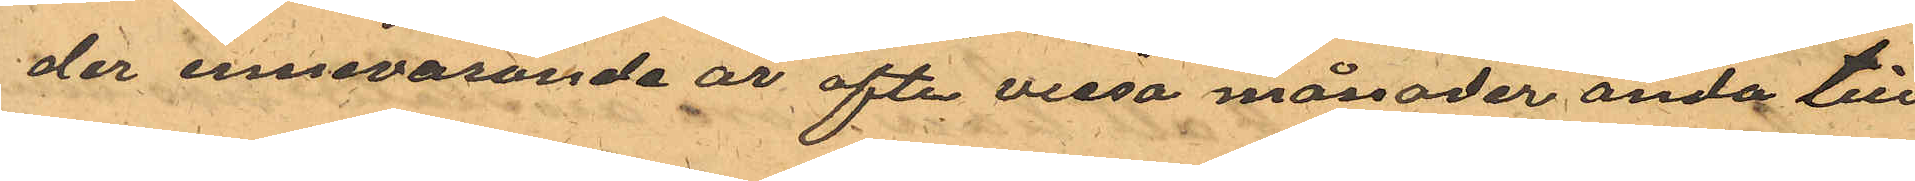der innevarande år ofta vissa månader ända till
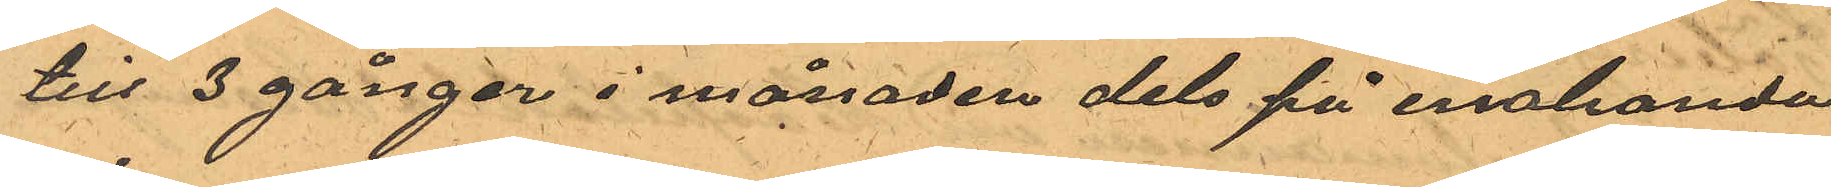till 3 gånger i månaden dels på enahanda
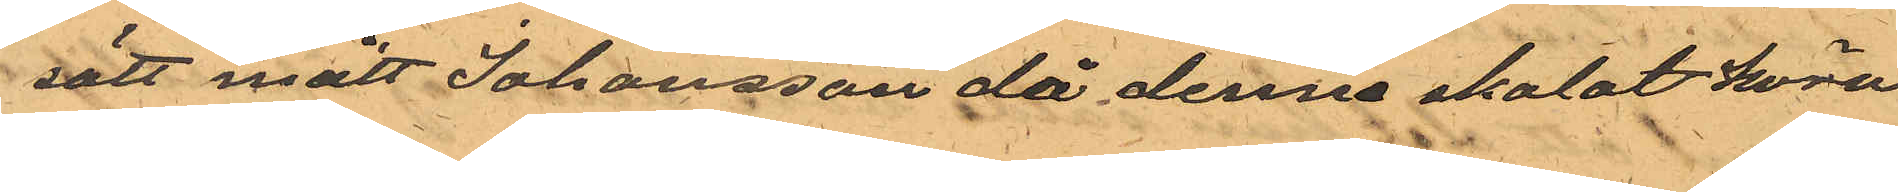sätt mött Johansson då denne skolat köra
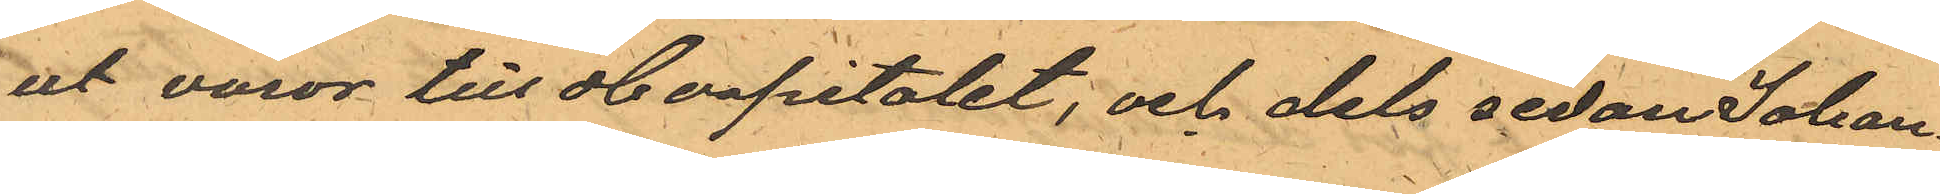ut varor till Hospitalet; och dels sedan Johan¬
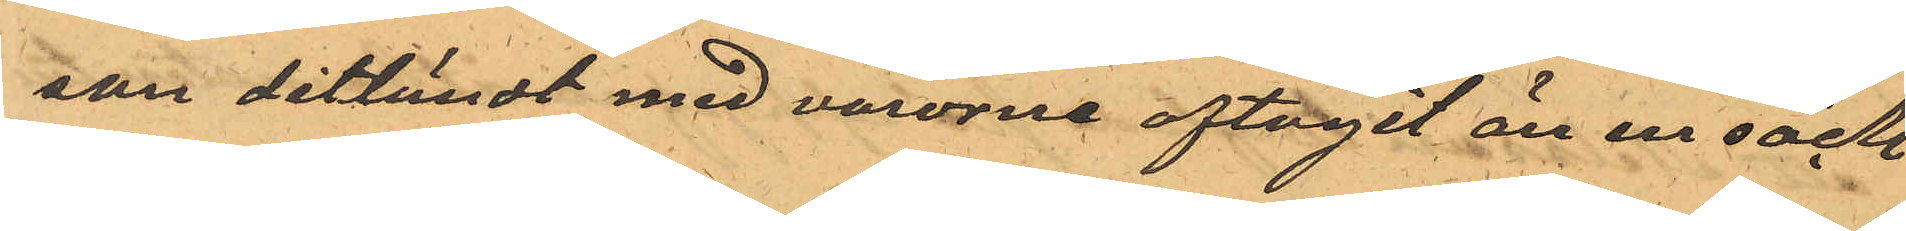san ditländt med varorne aftagit än en säck
